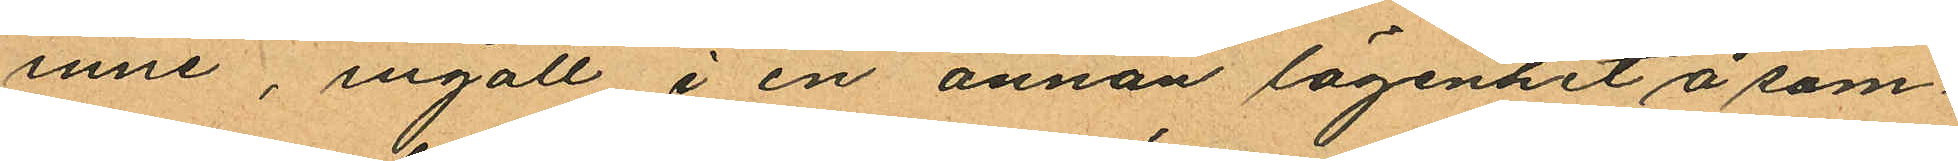inne, ingått i en annan lägenhet å sam
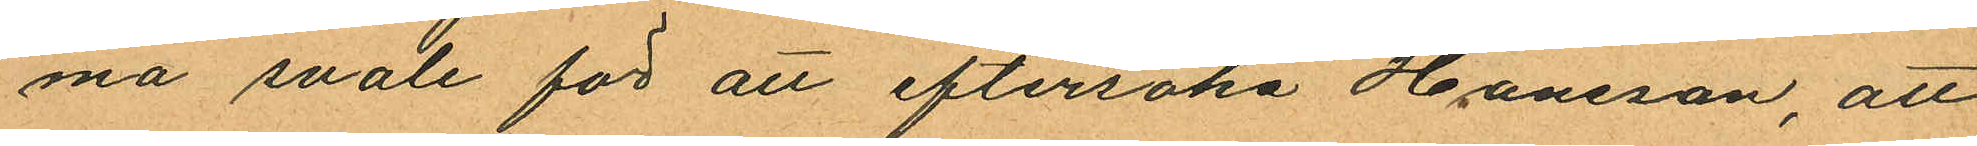ma svale för att eftersöka Hansson, att
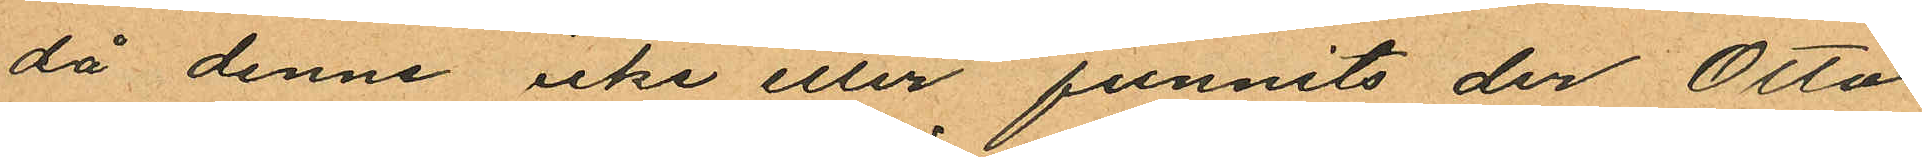då denne icke eller funnits der Otto
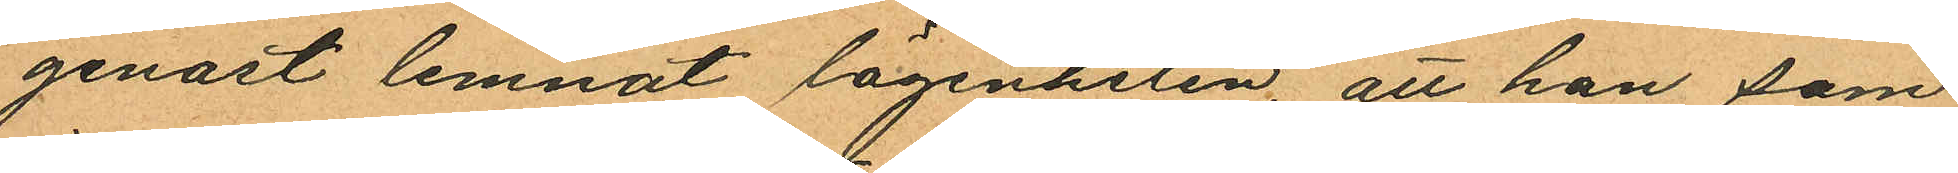genast lemnat lägenheten, att han som
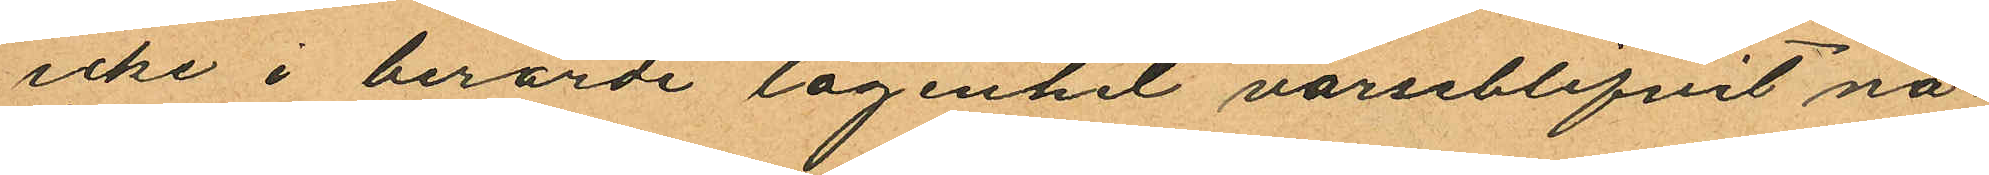icke i berörde lägenhet varseblifvit nå
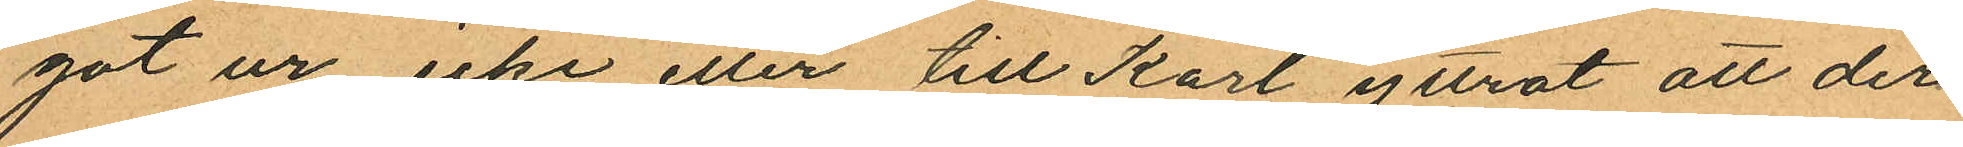got ur icke eller till Karl yttrat att der
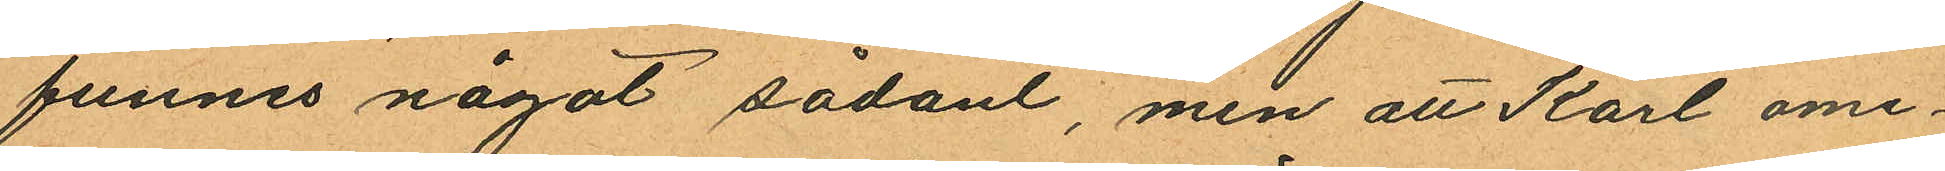funnes något sådant, men att Karl ome¬
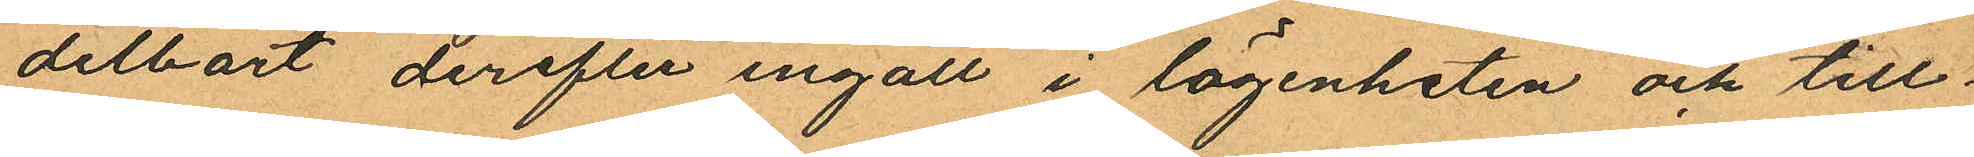delbart derefter ingått i lägenheten och till¬
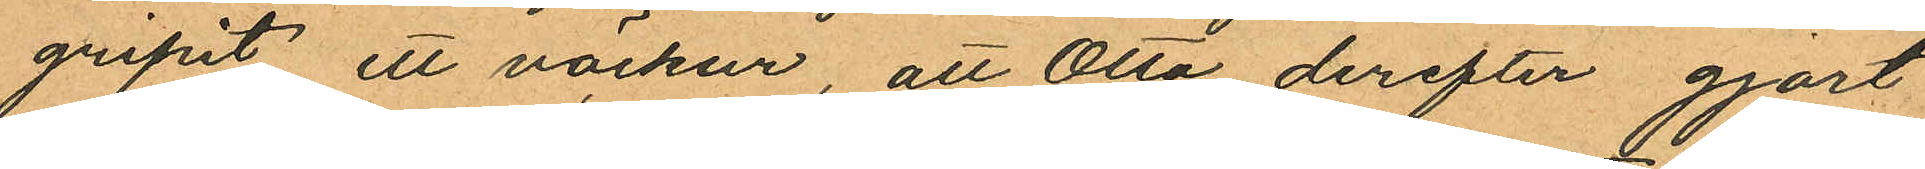gripit ett väckur, att Otto derefter gjort
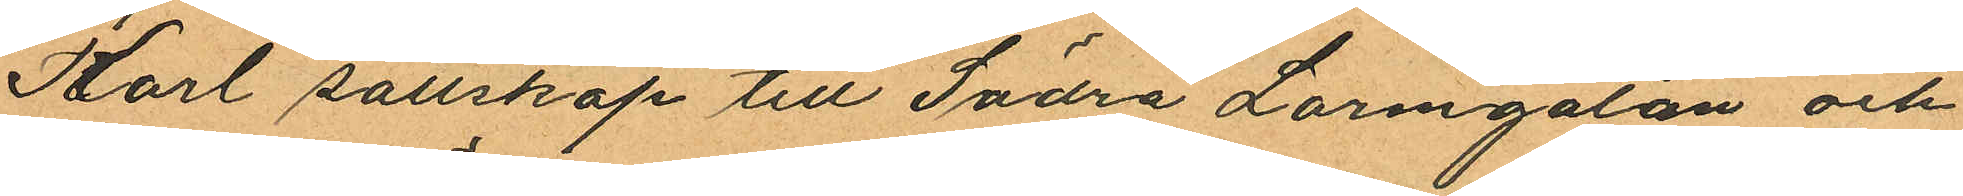Karl sällskap till Södra Larmgatan och
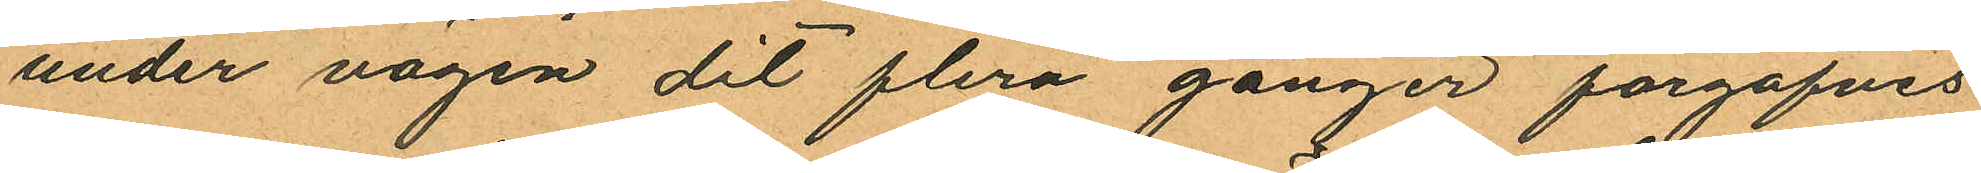under vägen dit flera gånger förgäfves
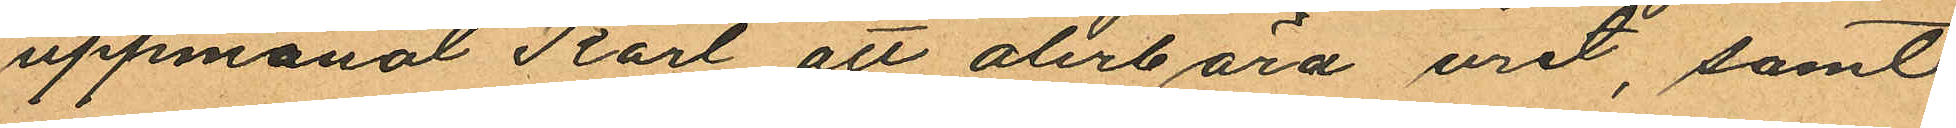uppmanat Karl att alerbära uret, samt
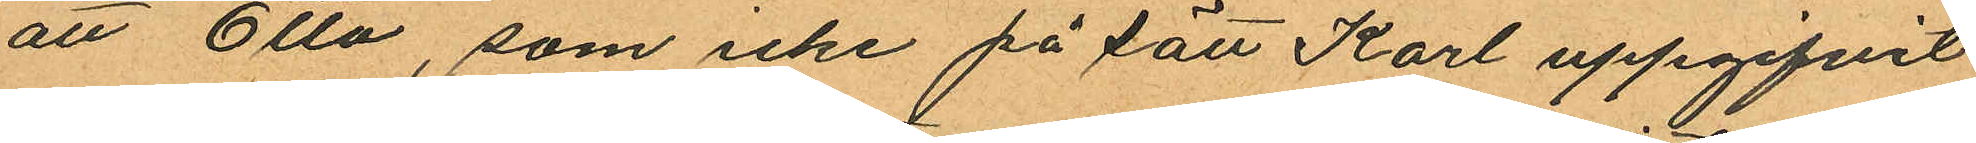att Otto, som icke på sätt Karl uppgifvit
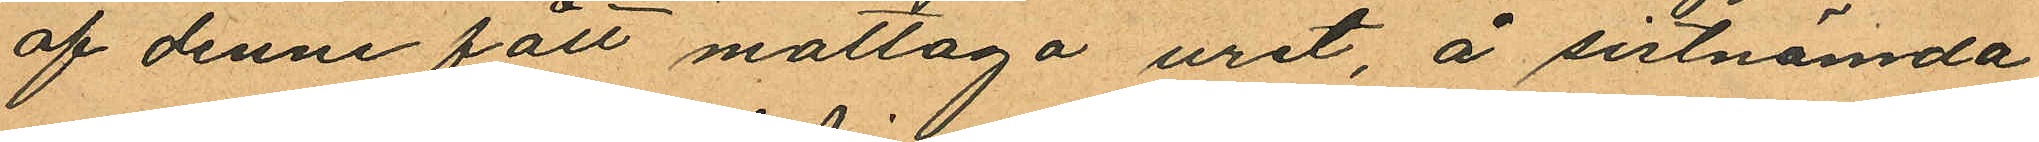af denne fått mottaga uret, å sistnämda
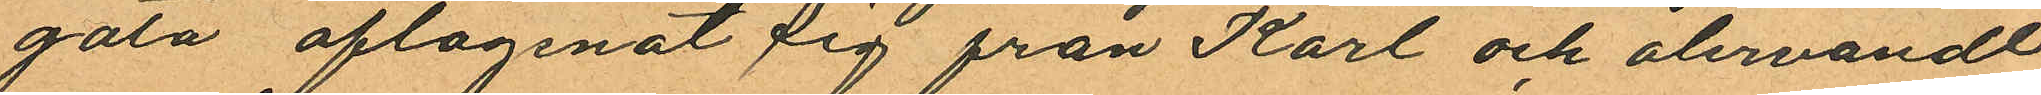gata aflägsnat sig från Karl och återvändt
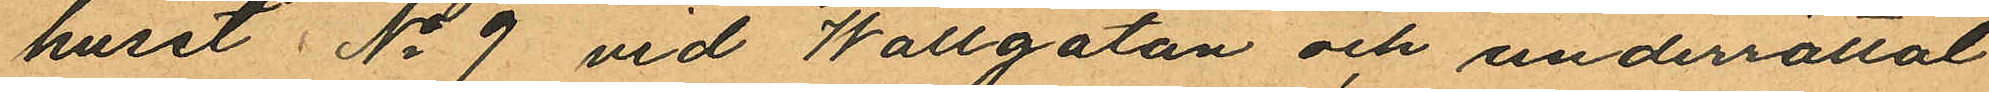huset No 9 vid Wallgatan och underrättat
